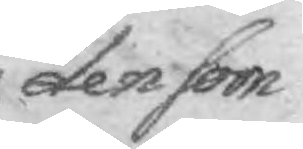den som
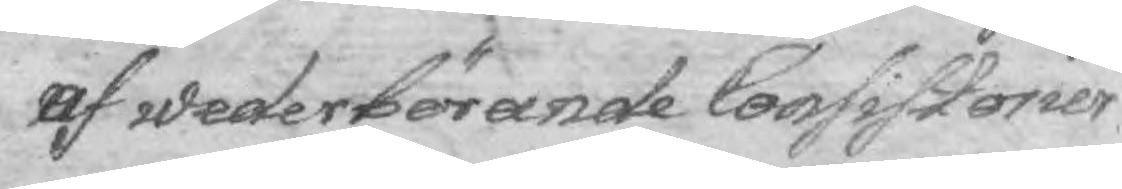af vederbörande Consistorier
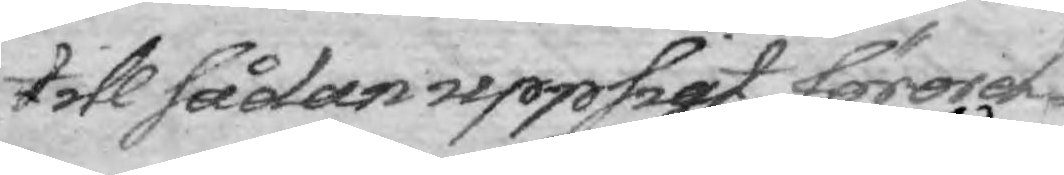till sådan uppsigt förord¬
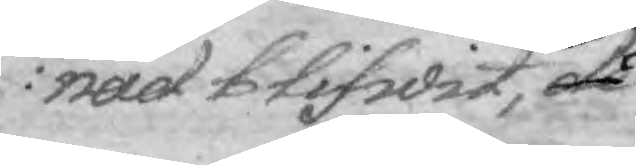nad blifwit, de
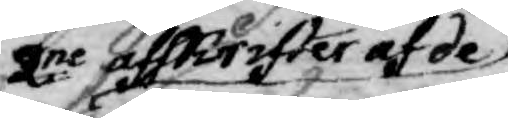2ne afskrifter af de
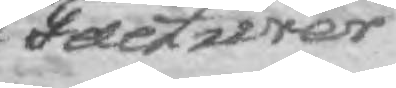Facturer,
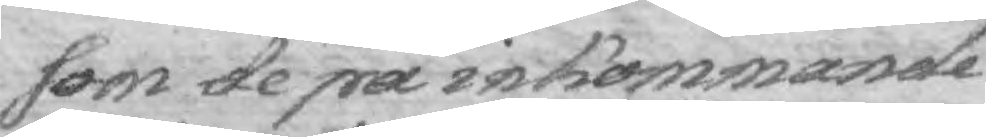som de på inkommande
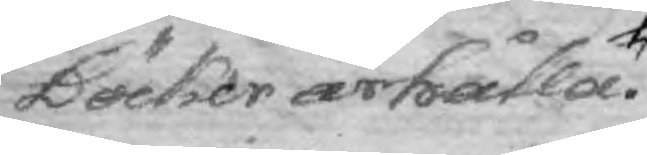Böcker ärhålla.
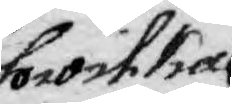hwilka
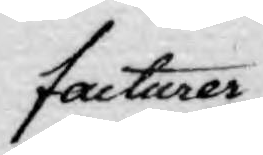facturer
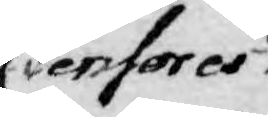Censores
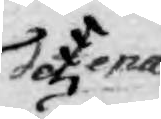dena
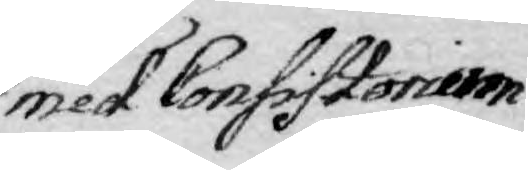med Consistorier
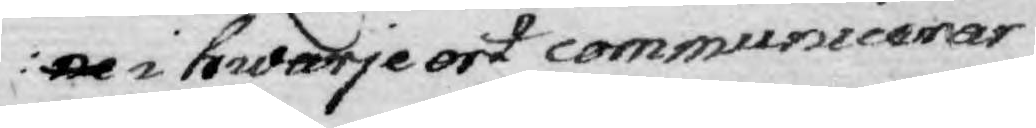ne i hwarje ort communicerar.
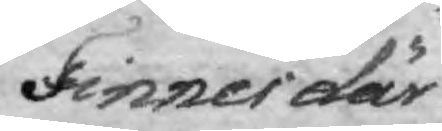Finner där
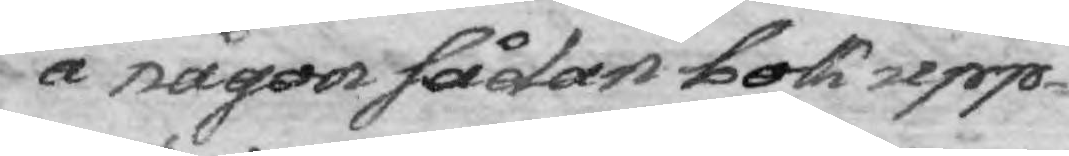å någon sådan bok upp¬
